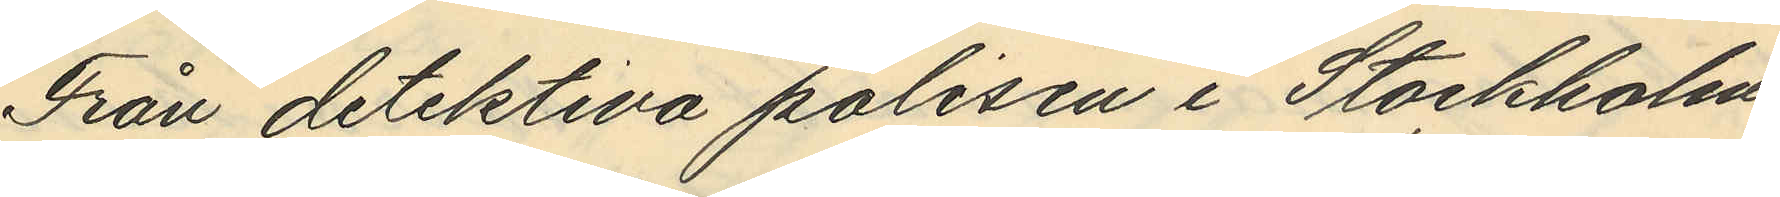Från detektiva polisen i Stockholm
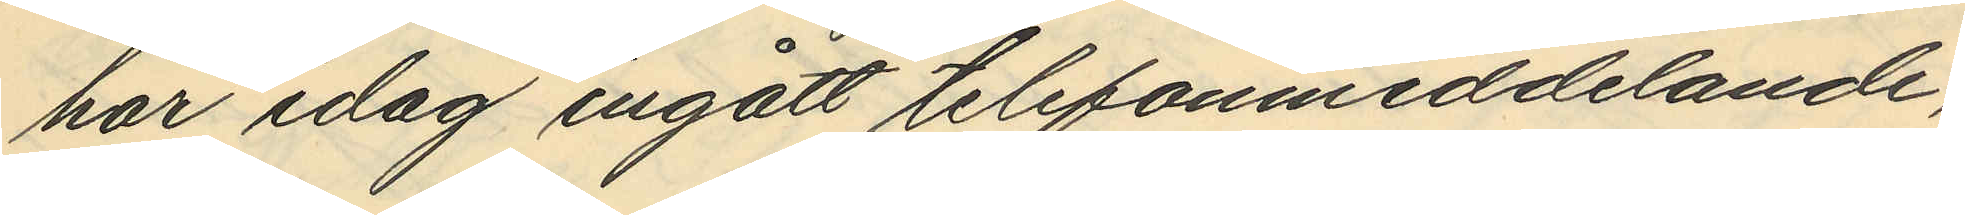har idag ingått telefonmeddelande,
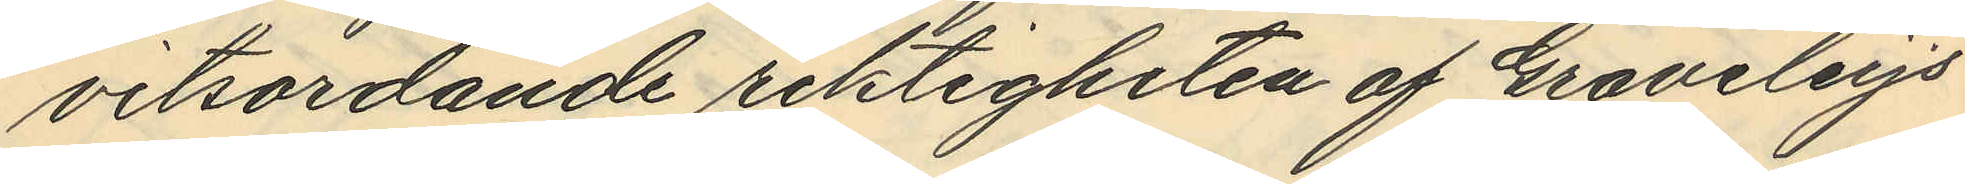vitsordande riktigheten af Graveleys
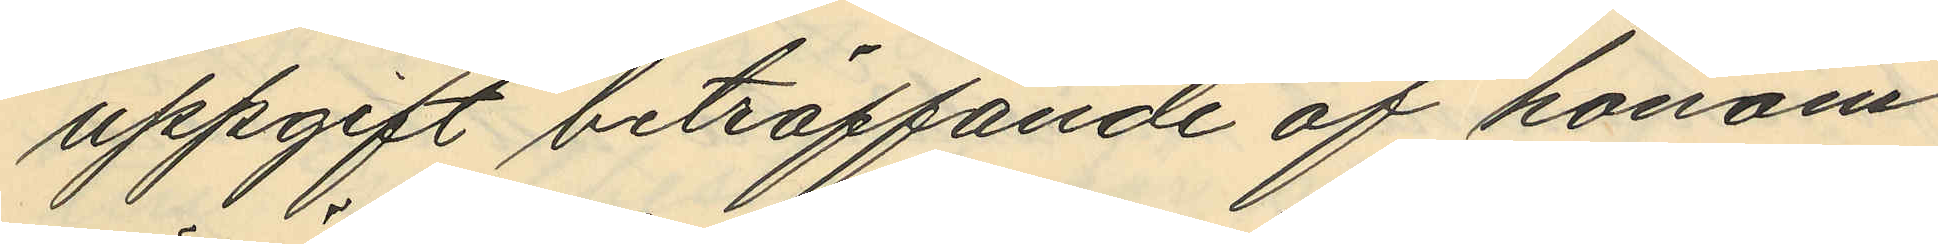uppgift beträffande af honom
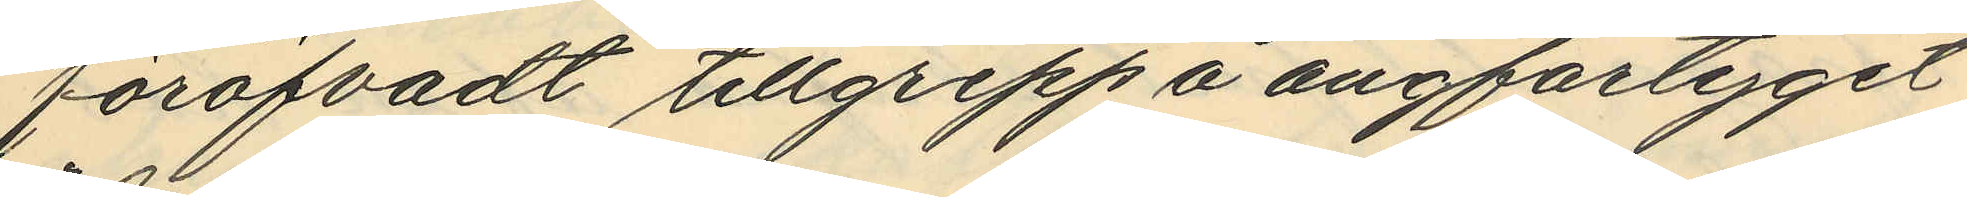föröfvadt tillgrepp å ångfartyget
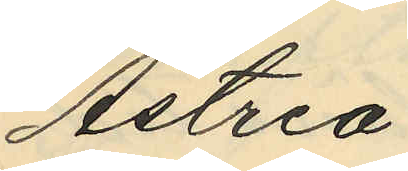"Astria"
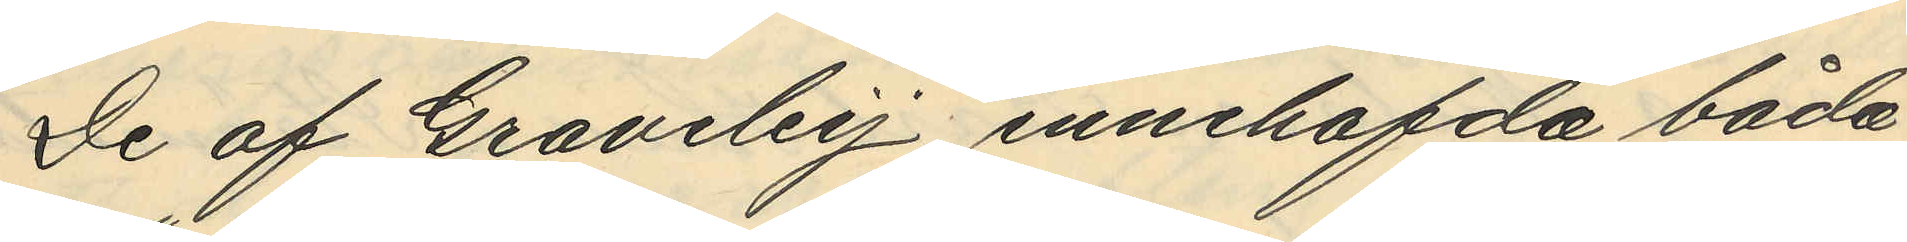De af Graveley innehafda båda
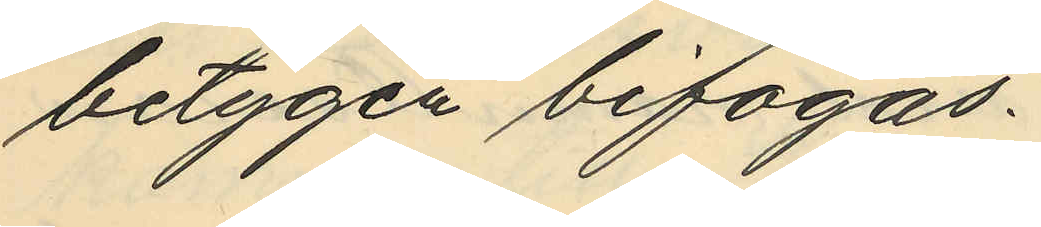betygen bifogas.
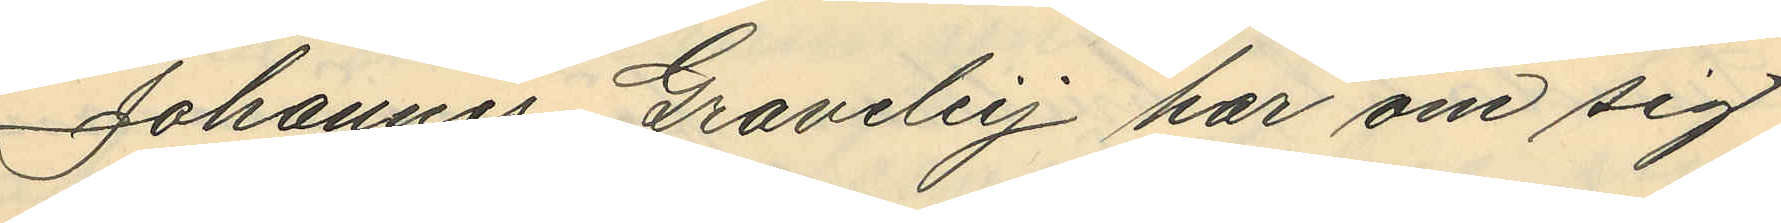Johannes Graveley har om sig
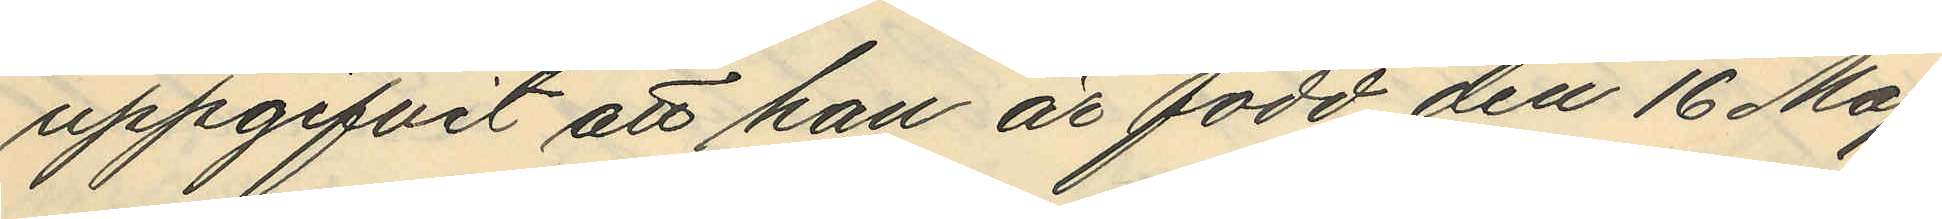uppgifvit att han är född den 16 Maj
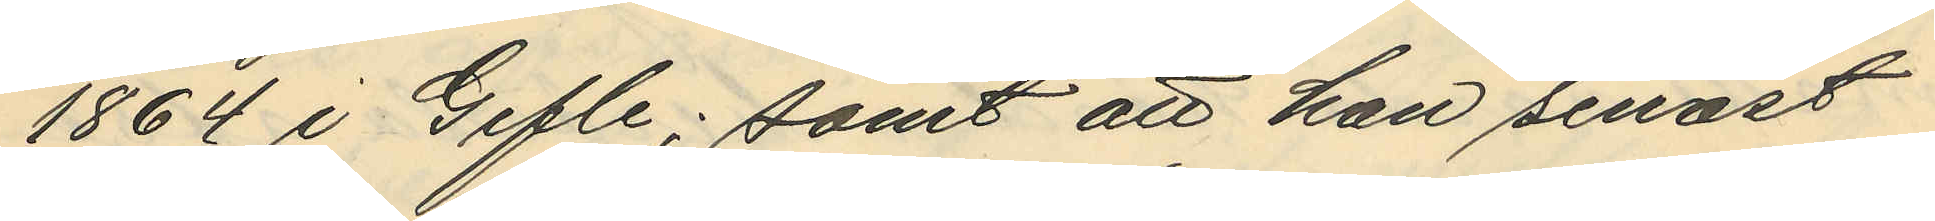1864 i Gefle; samt att han senast
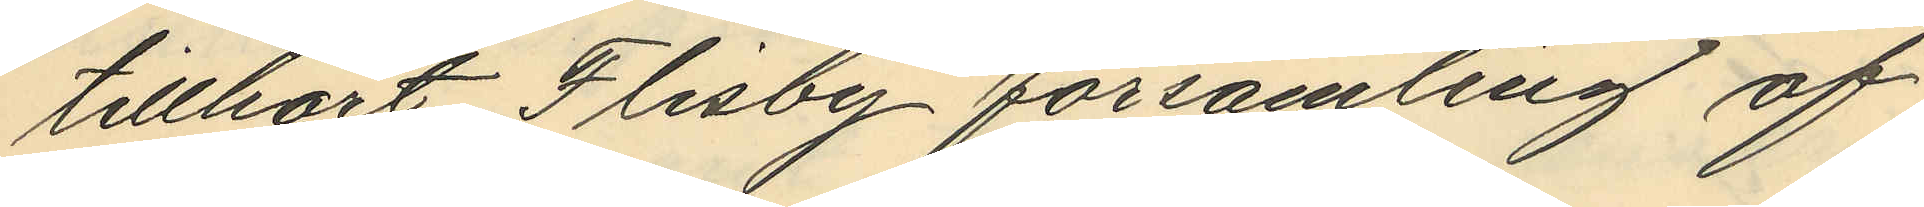tillhört Flisby församling af
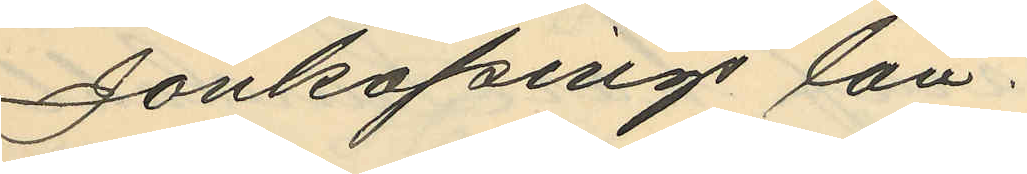Jönköpings Län
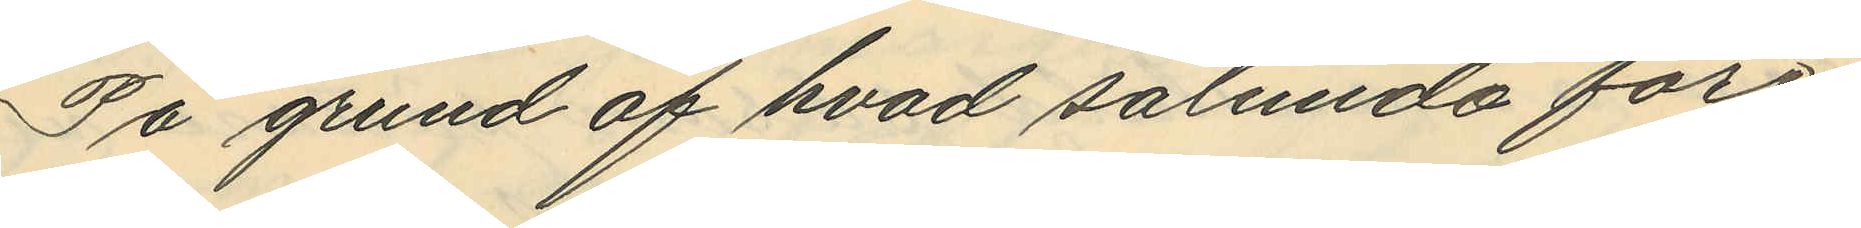På grund af hvad sålunda före¬
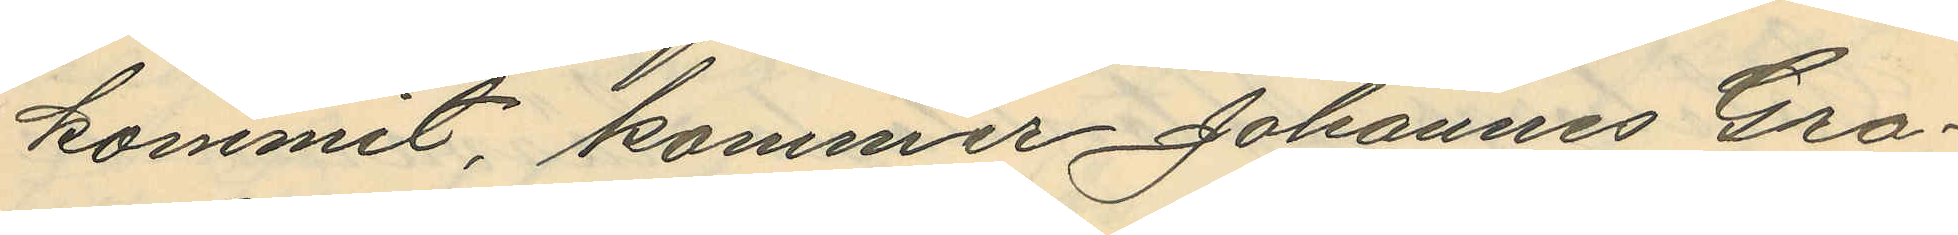kommit, kommer Johannes Gra¬
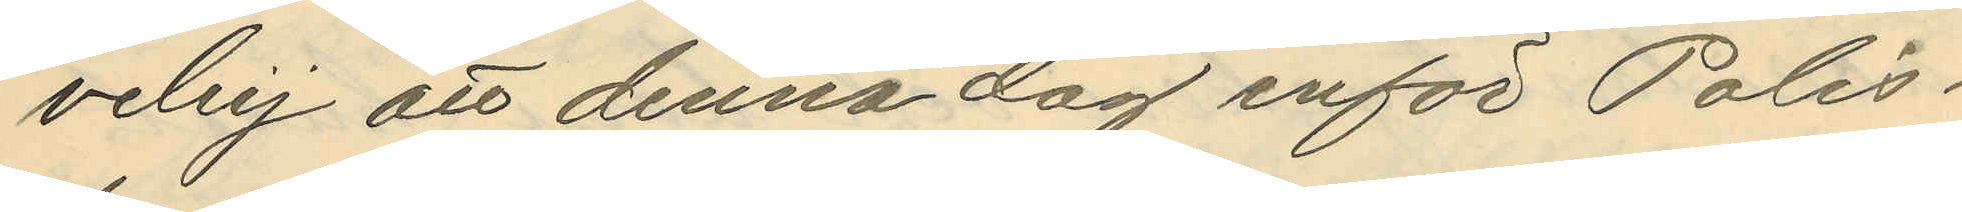veley att denna dag inför Polis¬
